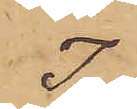I
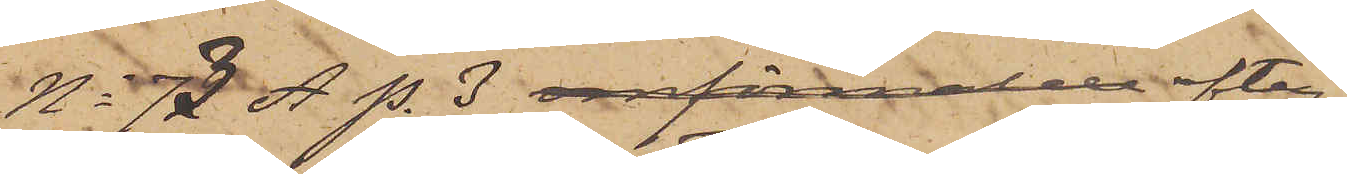No 73 A p. 3 omförmälde efter¬
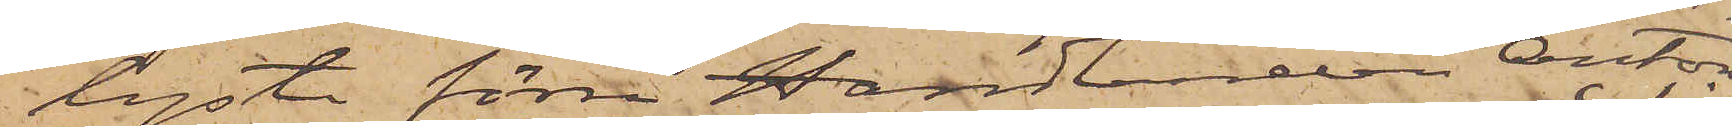lyste förra Handlanden Anton
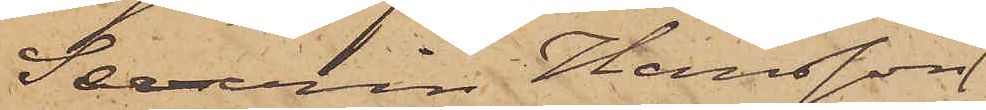Severin Hansson
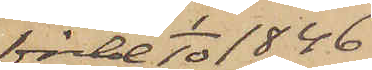född 1/10 1846
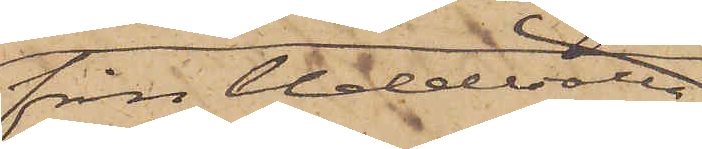från Uddevalla
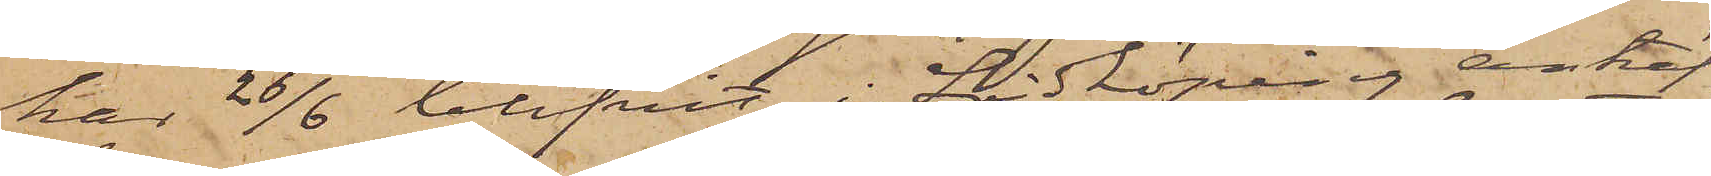har 26/6 blifvit i Lidköping anträf¬
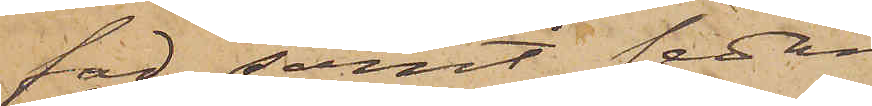fad samt sedan
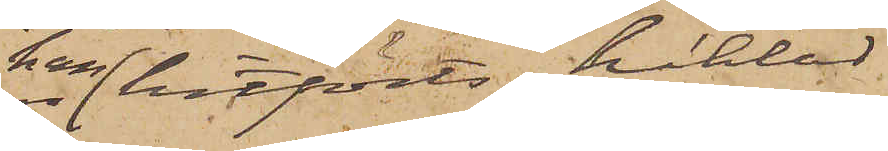han hitförts, häktad
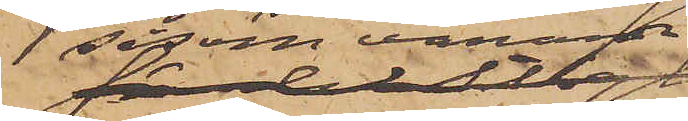såsom varande
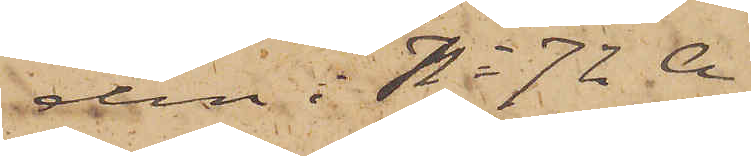den i No 7 A
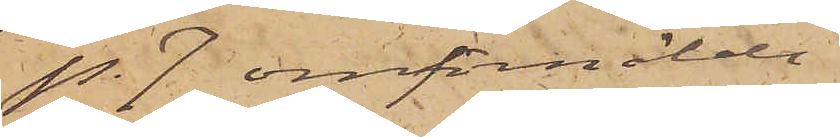p. 7 omförmälde
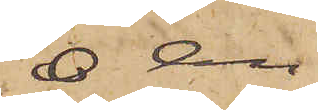O  An¬
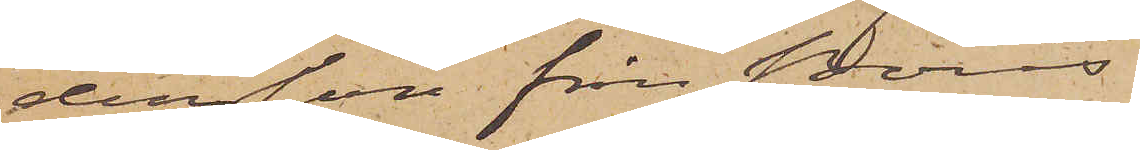dersson från Borås.
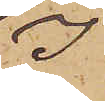I
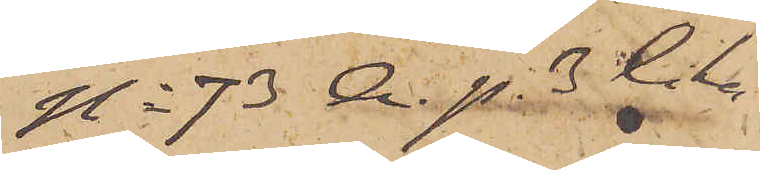No 73 A p. 3 lika¬
